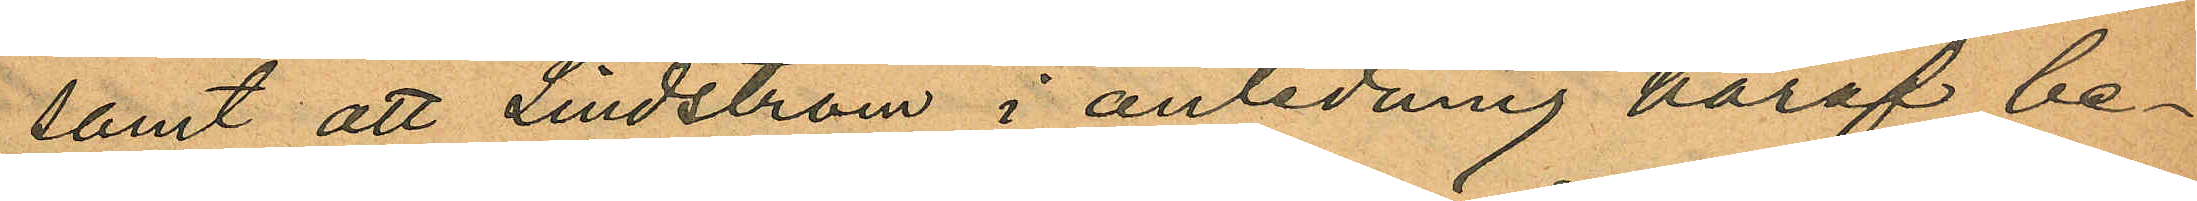samt att Lindström i anledning häraf be¬
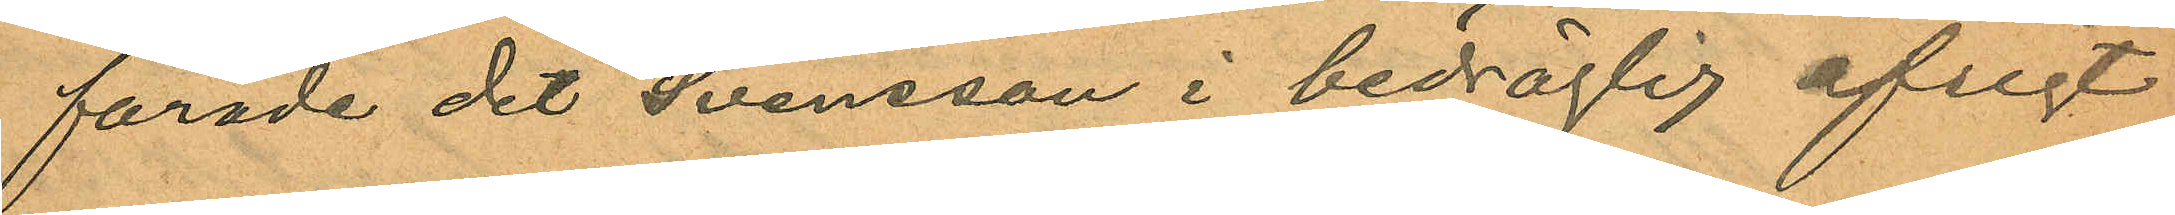farade det Svensson i bedräglig afsigt
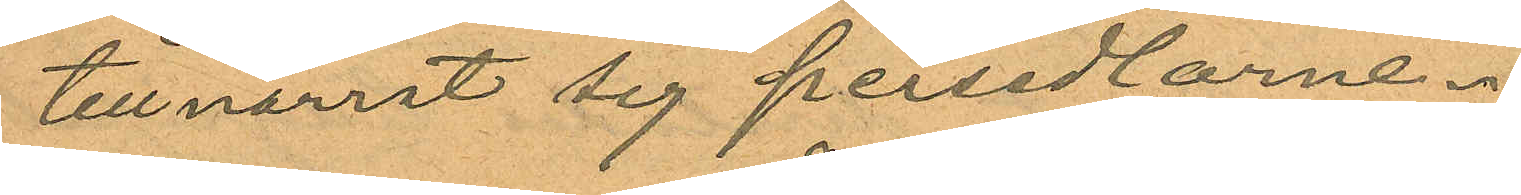tillnarrat sig persedlarne.
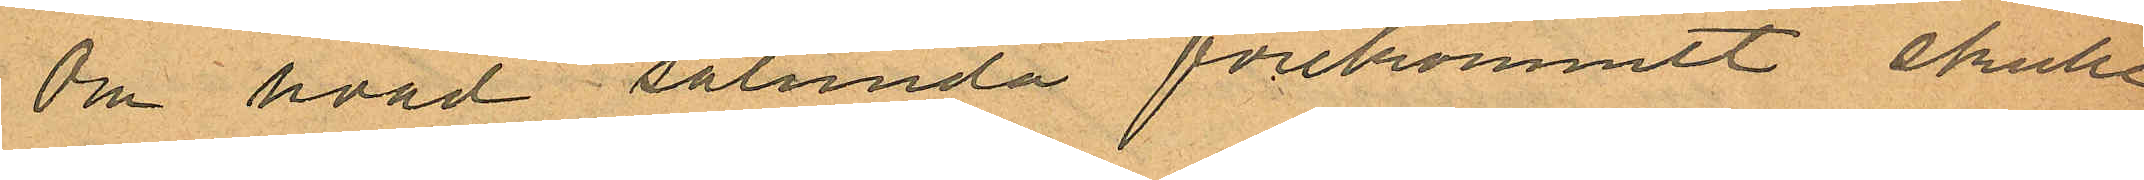Om hvad sålunda förekommit skulle
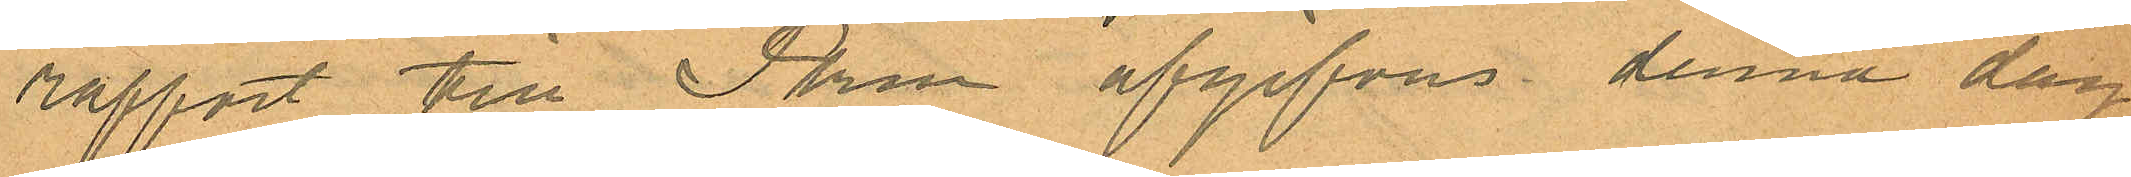rapport till Pkn afgifvas denna dag.
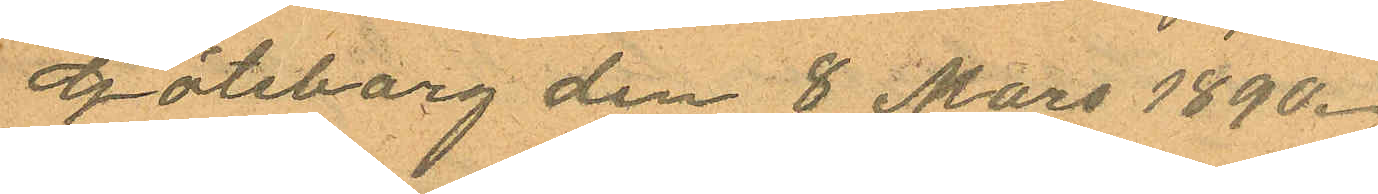Göteborg den 8 Mars 1890.
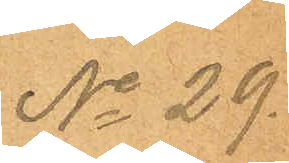No 29.
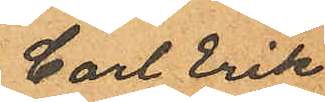Carl Erik
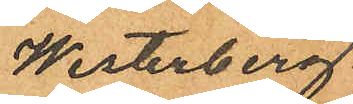Westerberg
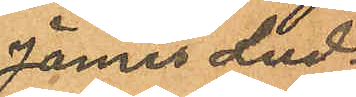James Lud¬
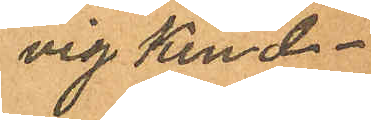vig Kind¬
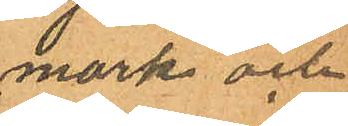mark och
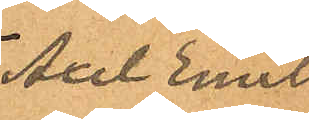Axel Emil
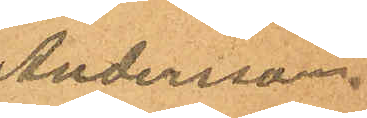Andersson.
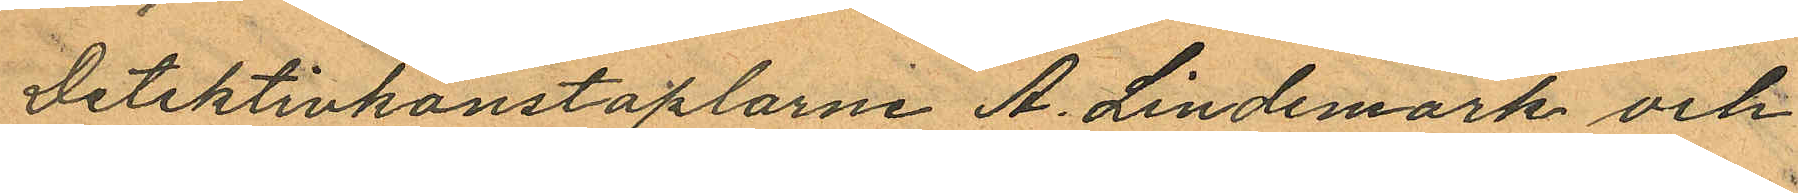Detektivkonstaplarne A. Lindemark och
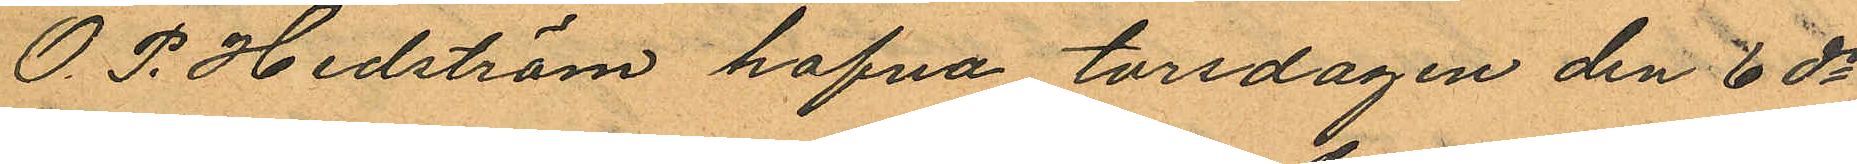O. P. Hedström hafva torsdagen den 6 ds
